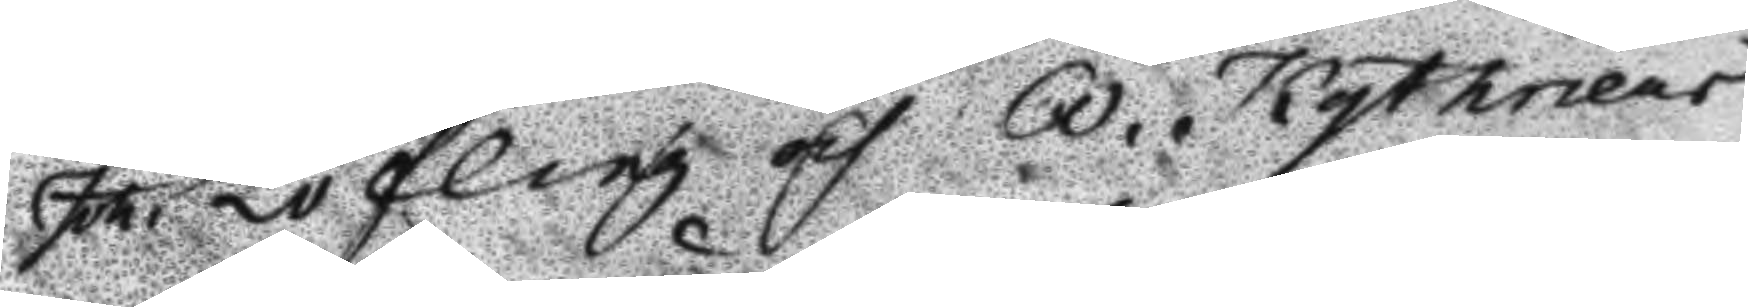Joh. Löfling och A. Kythneur
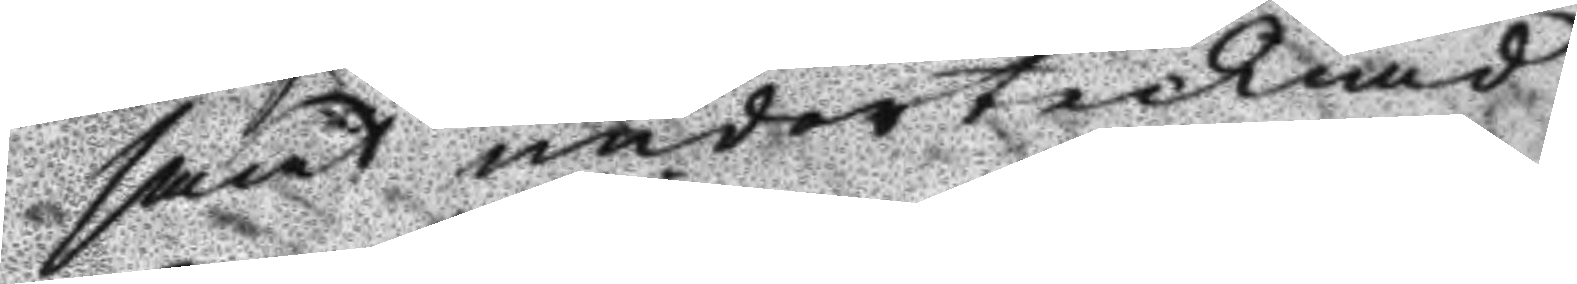samt undertecknad
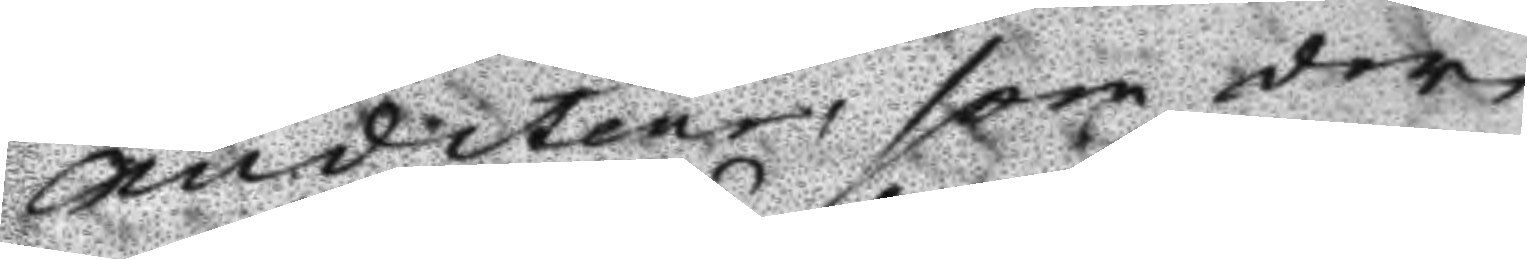Auditeur, som der
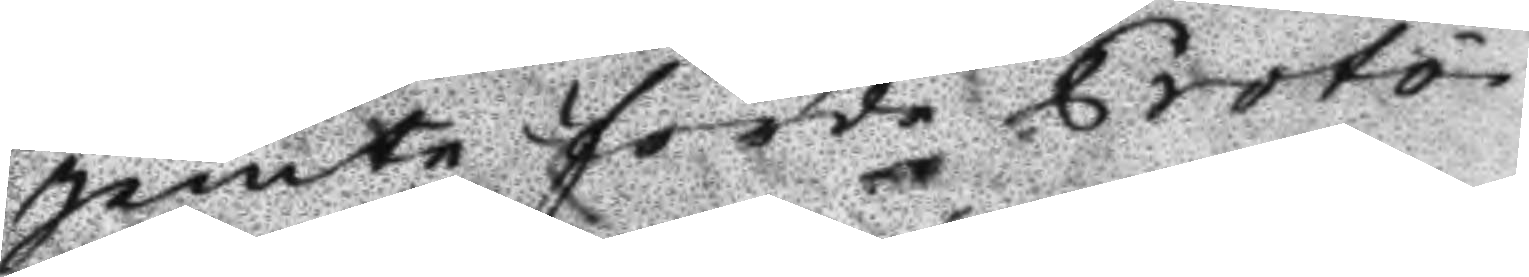jemte förde Proto¬
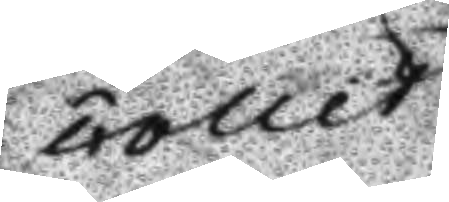collet
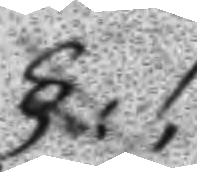§.1.
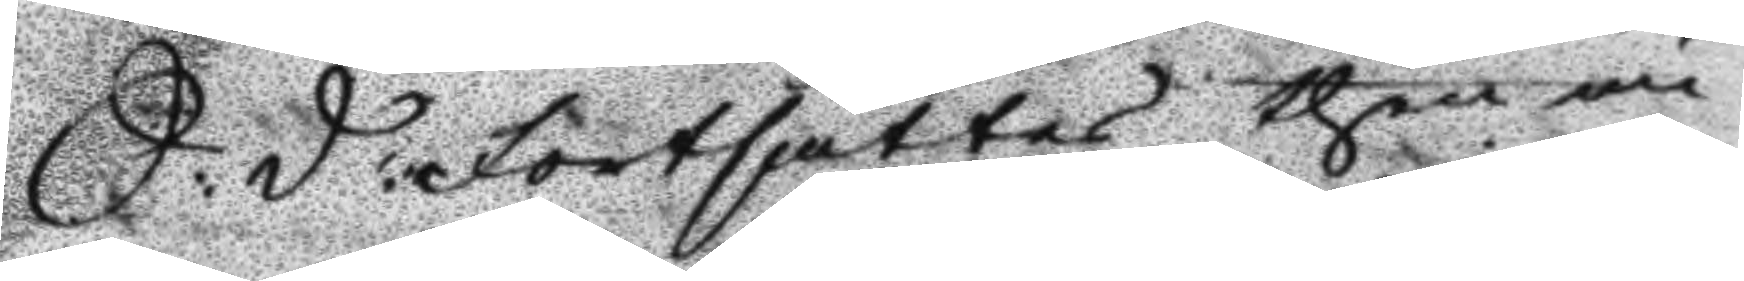S: D: Fortsattes then un¬
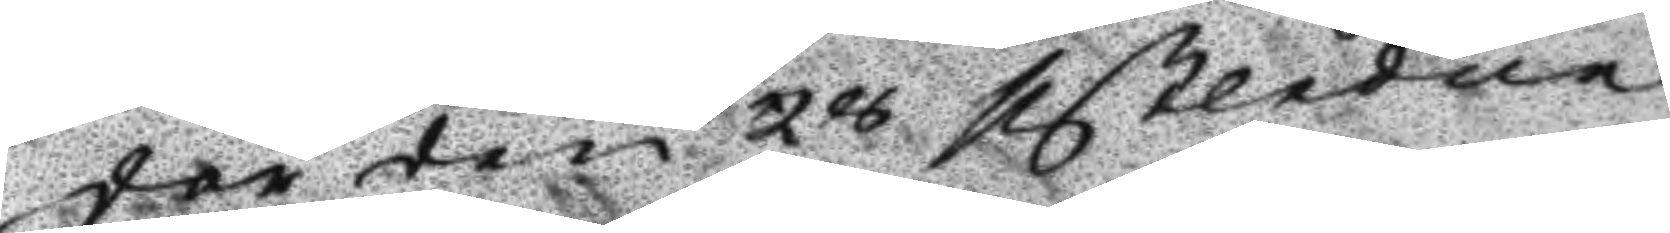der den 28 sistledne
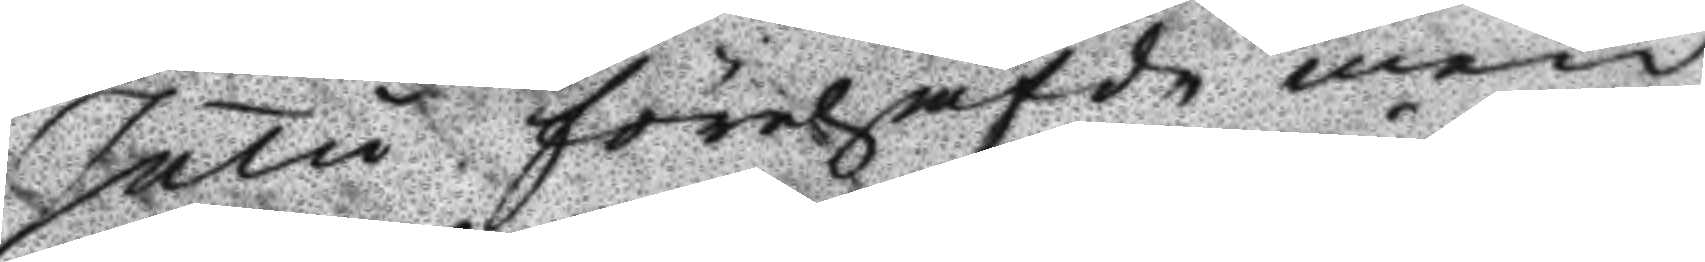Julu förehafde men 
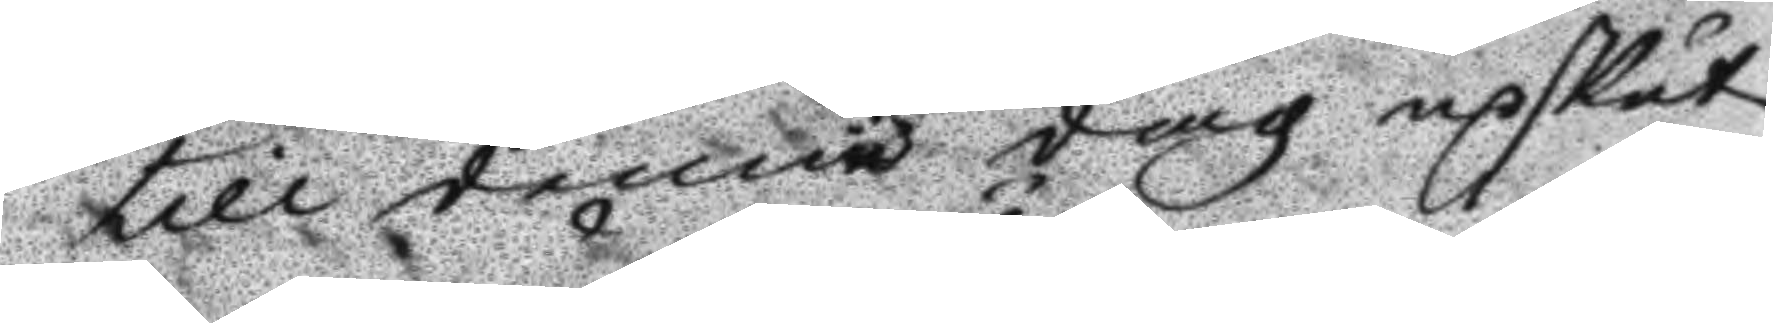till denna dag upskut¬
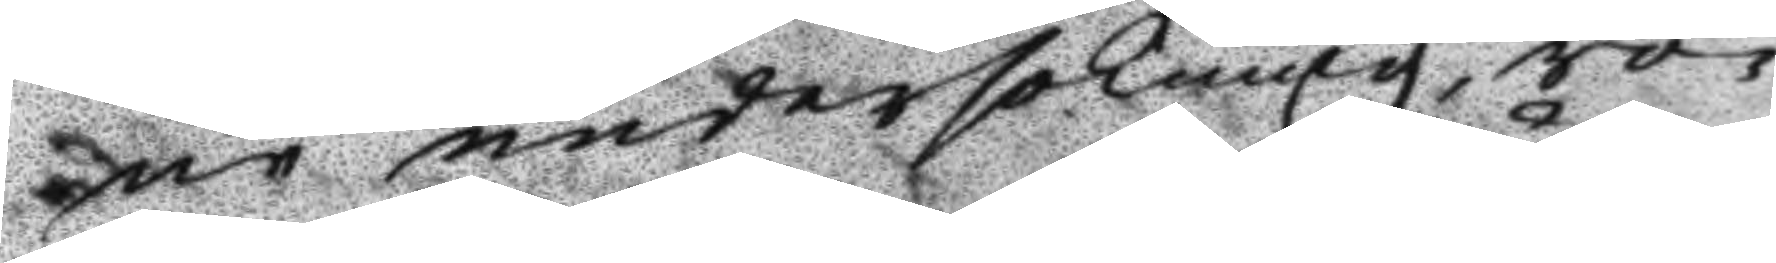ne undersökning, rö¬
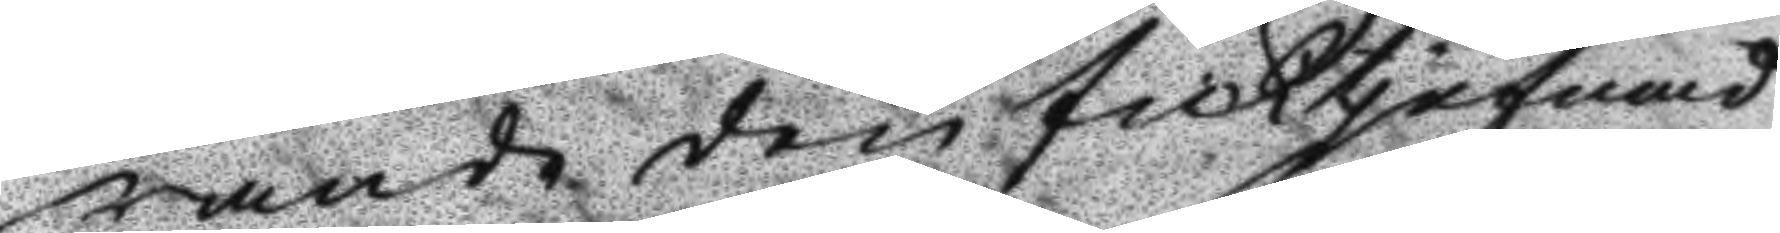rande den ficktjufnad
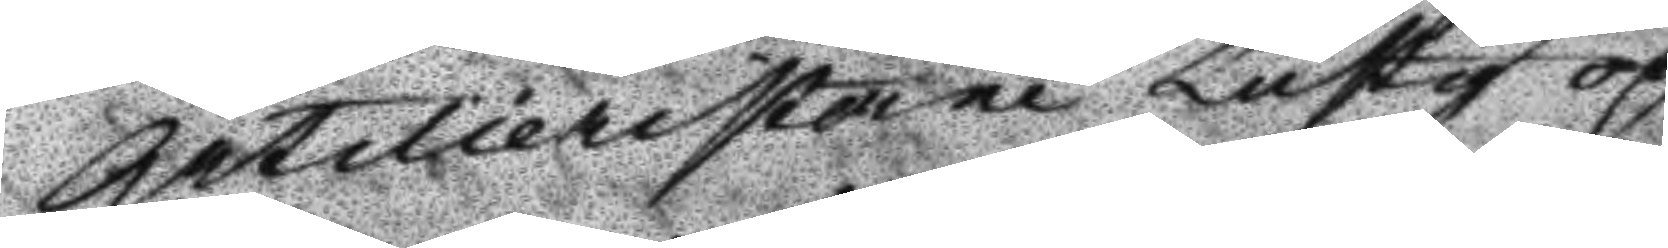Artilleristerne Lustig och
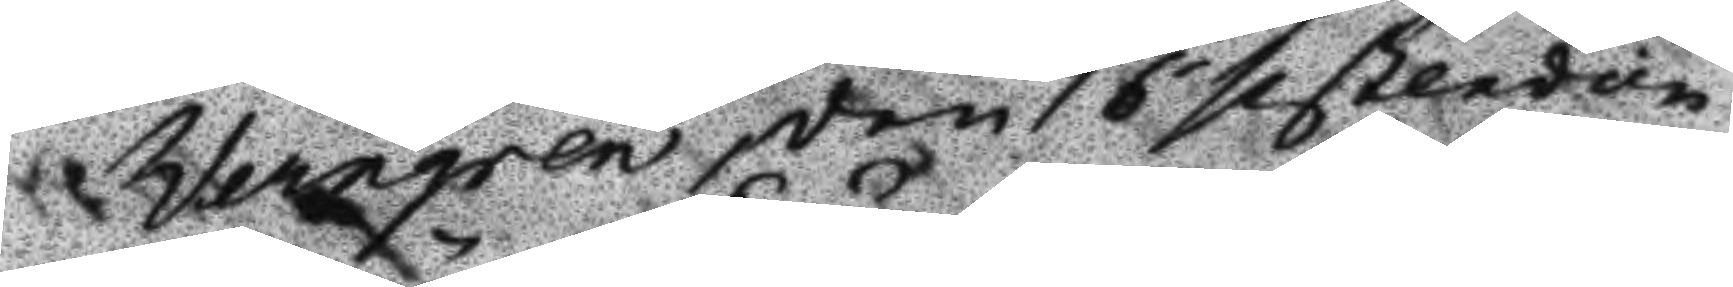Werngren, den 16 sistleden
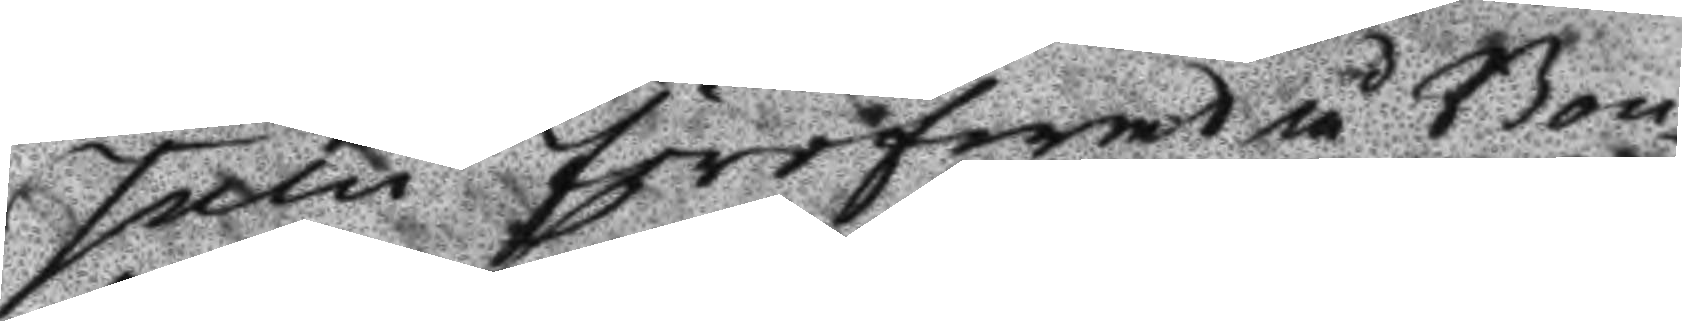Julu föröfwad å Bon¬
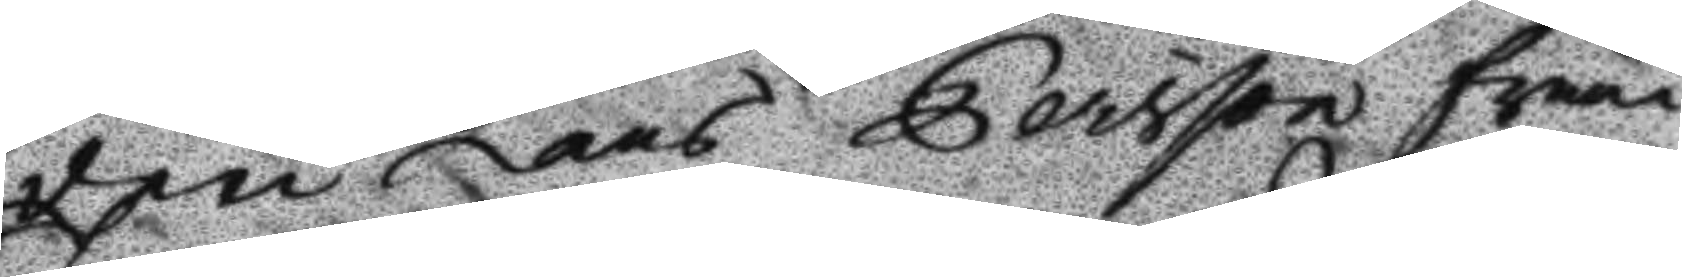den Lars Eersson från
